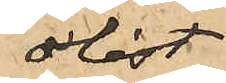olåst;
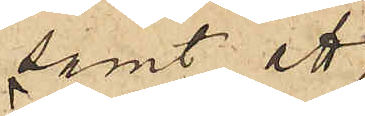samt att
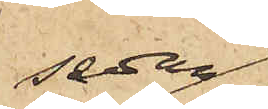sedan
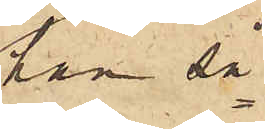han så¬
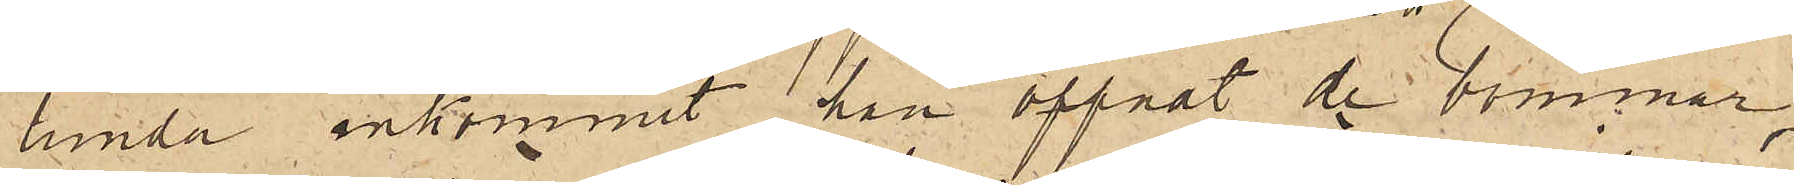lunda inkommit, han öppnat de bommar,
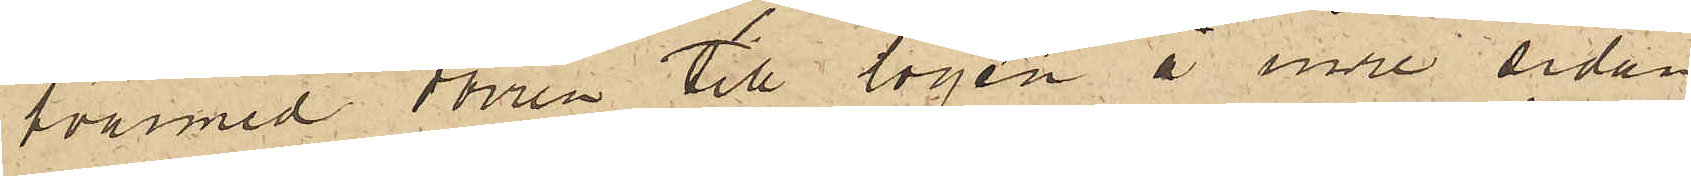hvarmed dörren till logen å inre sidan
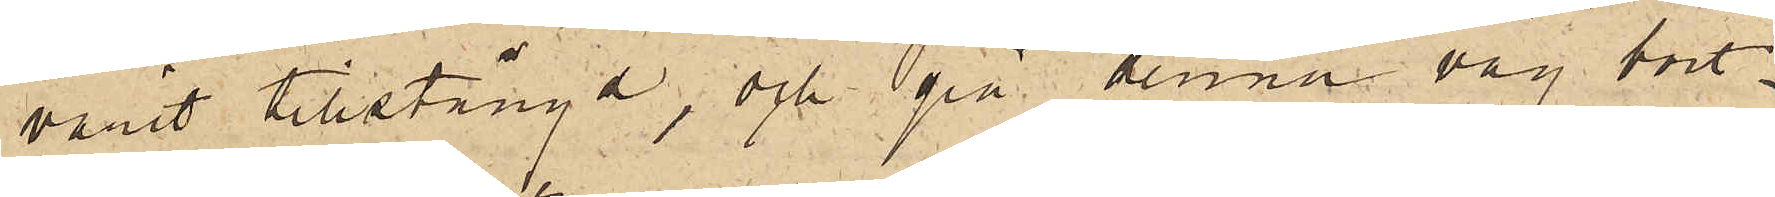varit tillstängd, och på denna väg bort¬
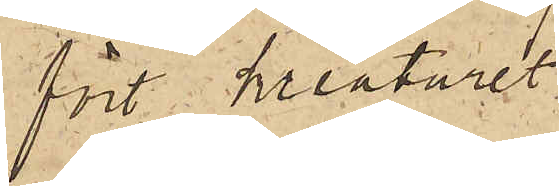fört kreaturet.
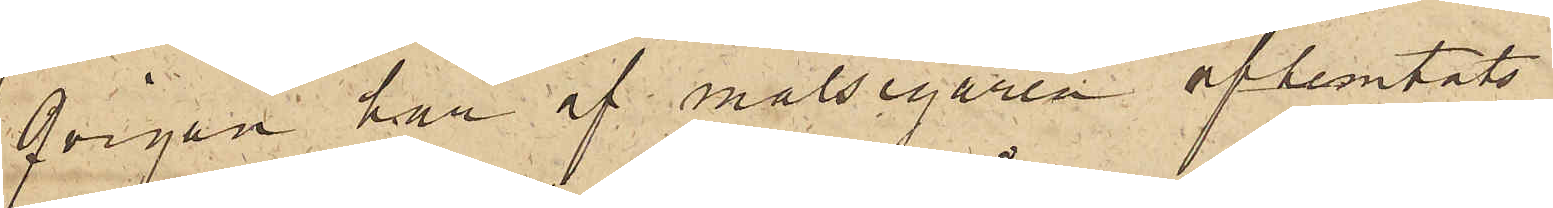Qvigan har af målsegaren afhemtats.
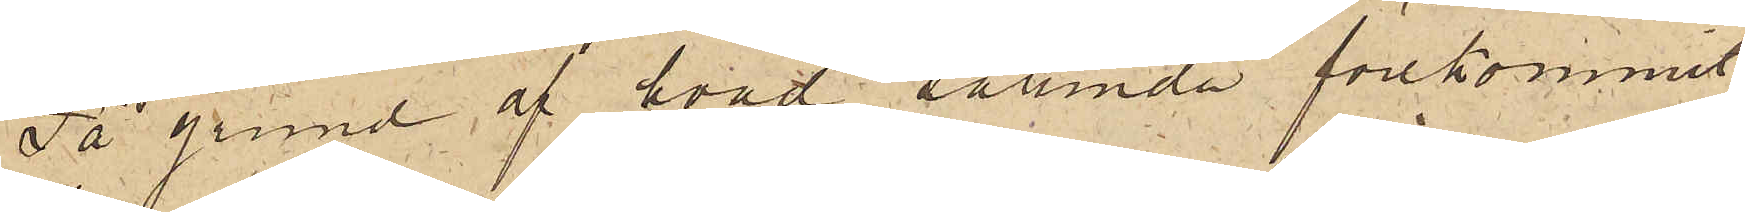På grund af hvad sålunda förekommit,
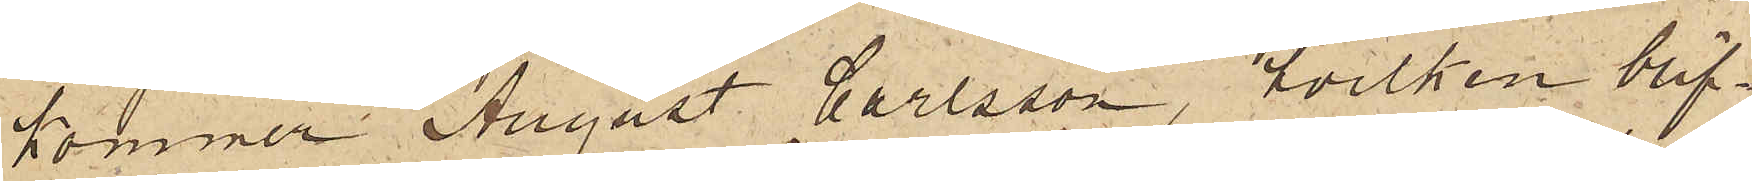kommer August Carlsson, hvilken blif¬
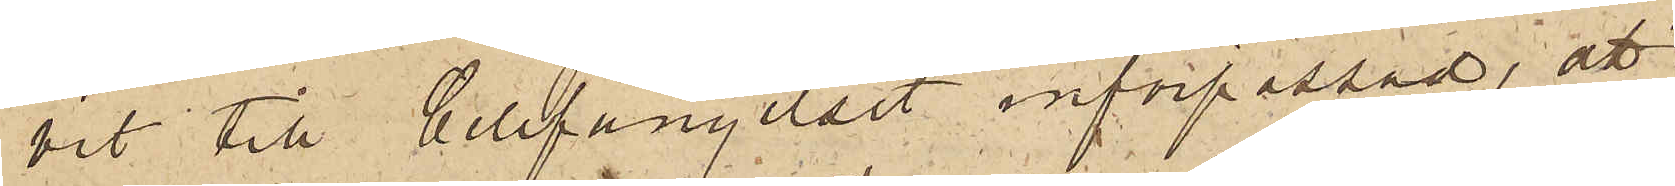vit till Cellfängelset införpassad, att
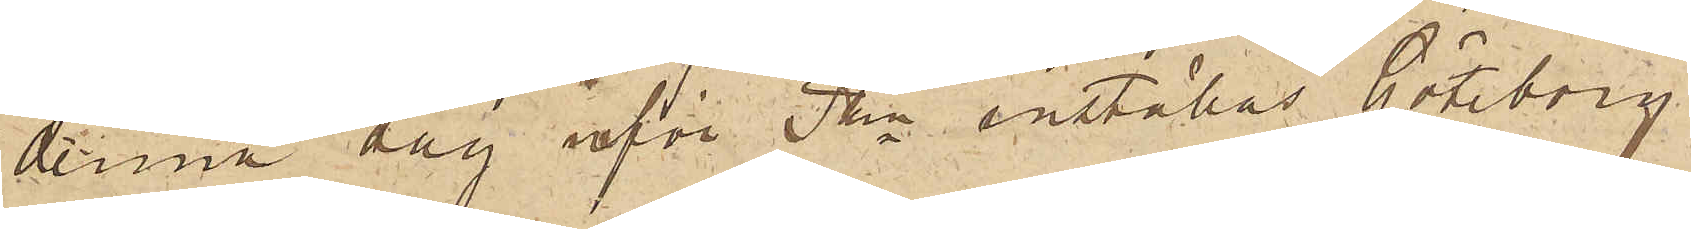denna dag inför Pkn inställas. Göteborg
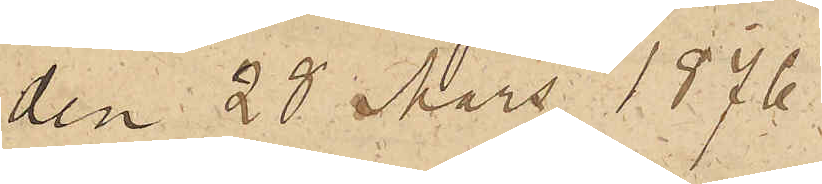den 28 Mars 1876.
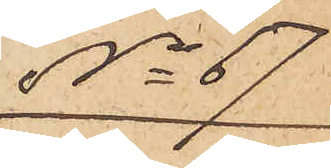No 67.
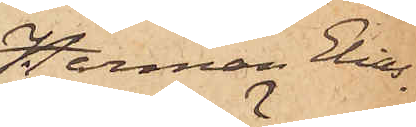Herman Elias¬
